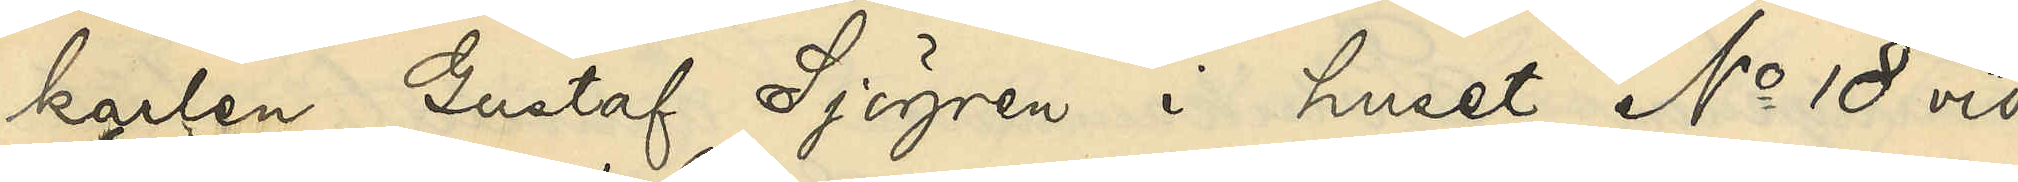karlen Gustaf Sjögren i huset No 18 vid
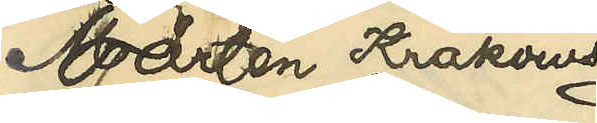Mårten Krakows¬
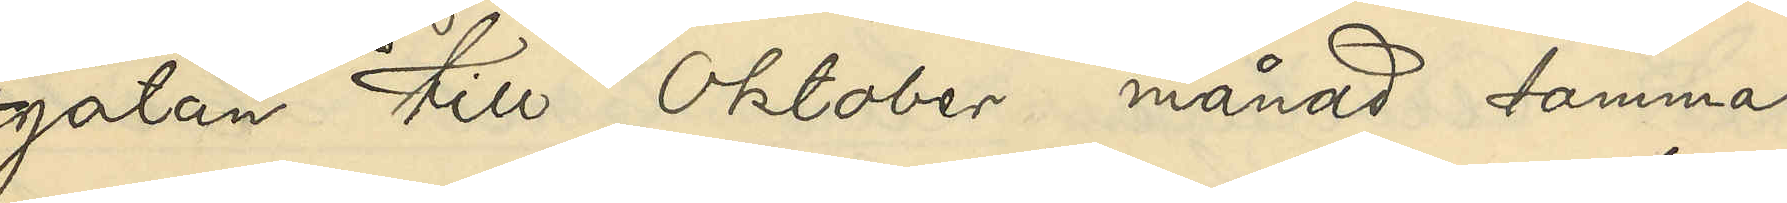gatan till Oktober månad samma
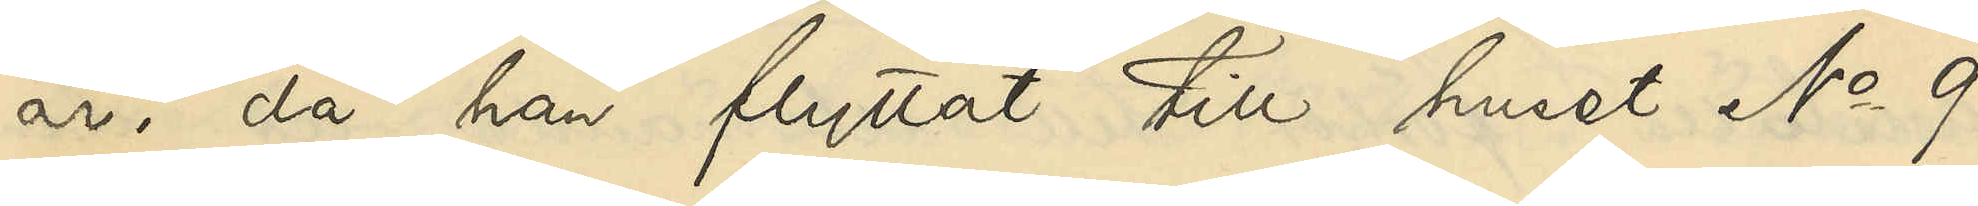år, då han flyttat till huset No 9
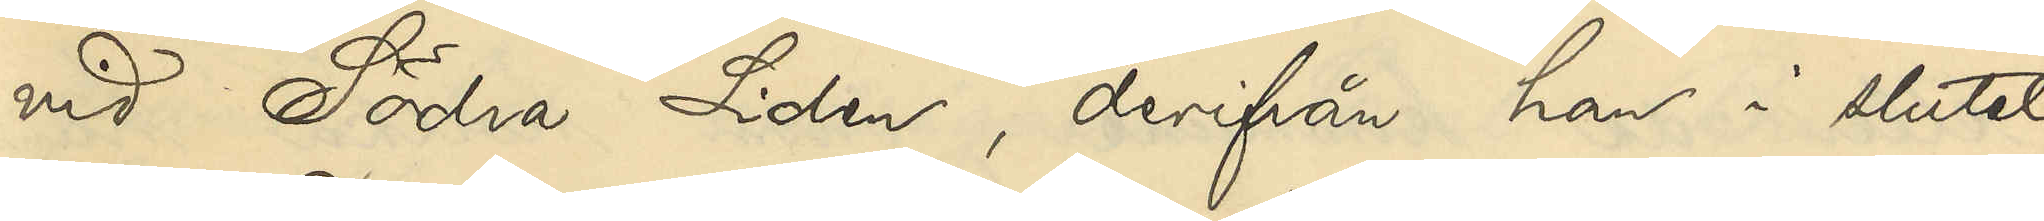vid Södra Liden, derifrån han i slutet
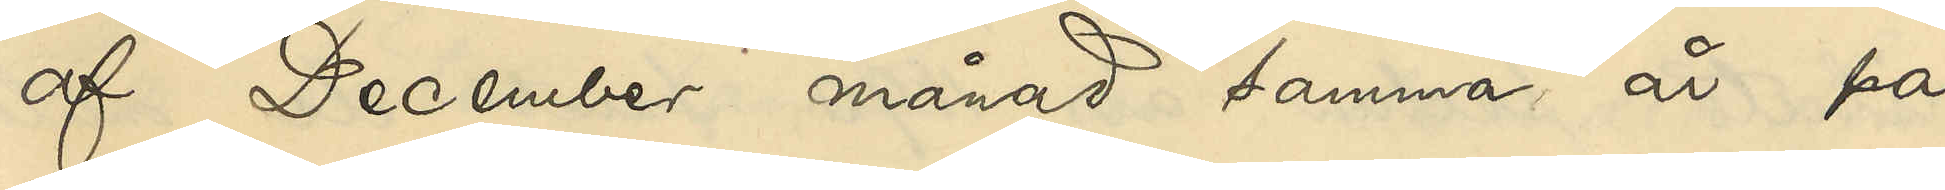af December månad samma år på
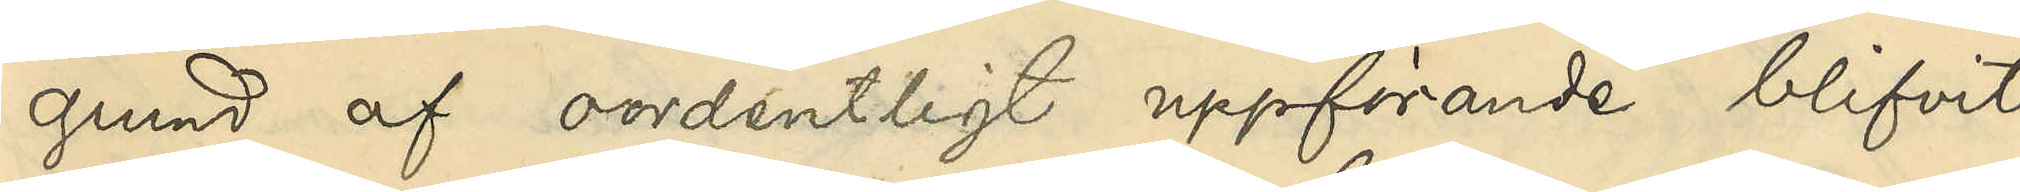grund af oordentligt uppförande blifvit
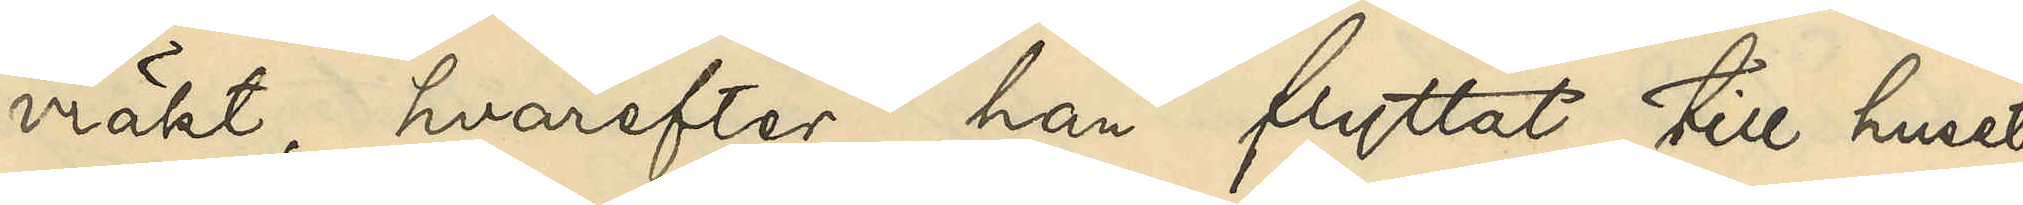vräkt, hvarefter han flyttat till huset
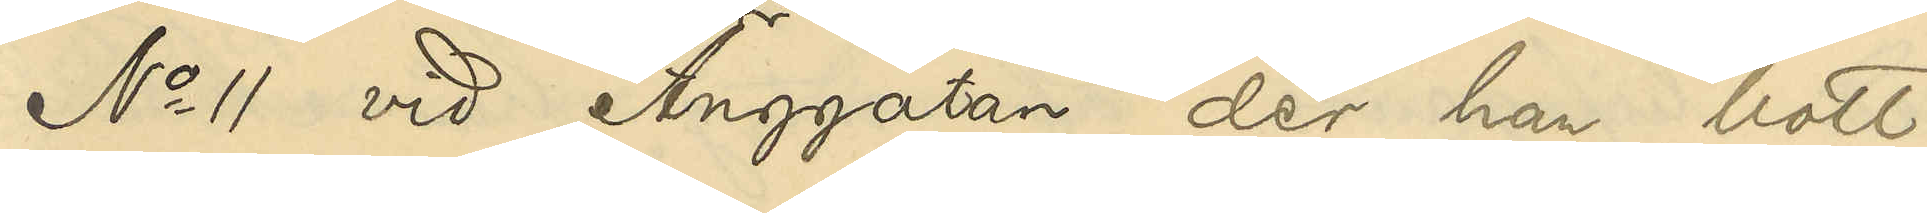No 11 vid Änggatan, der han bott
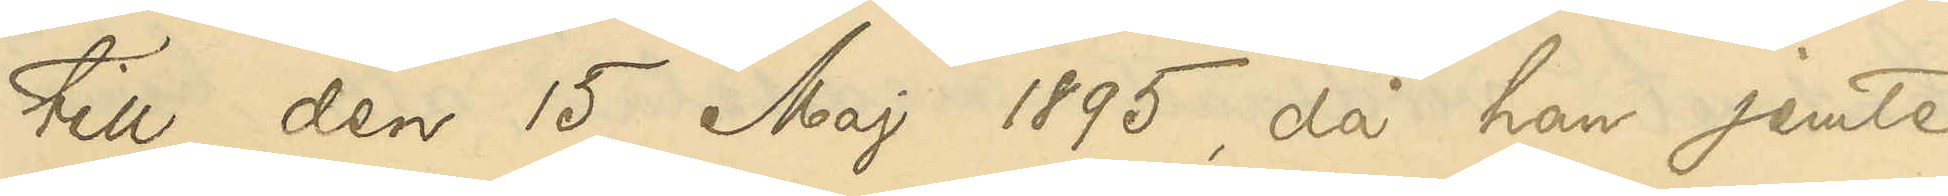till den 15 Maj 1895, då han jemte
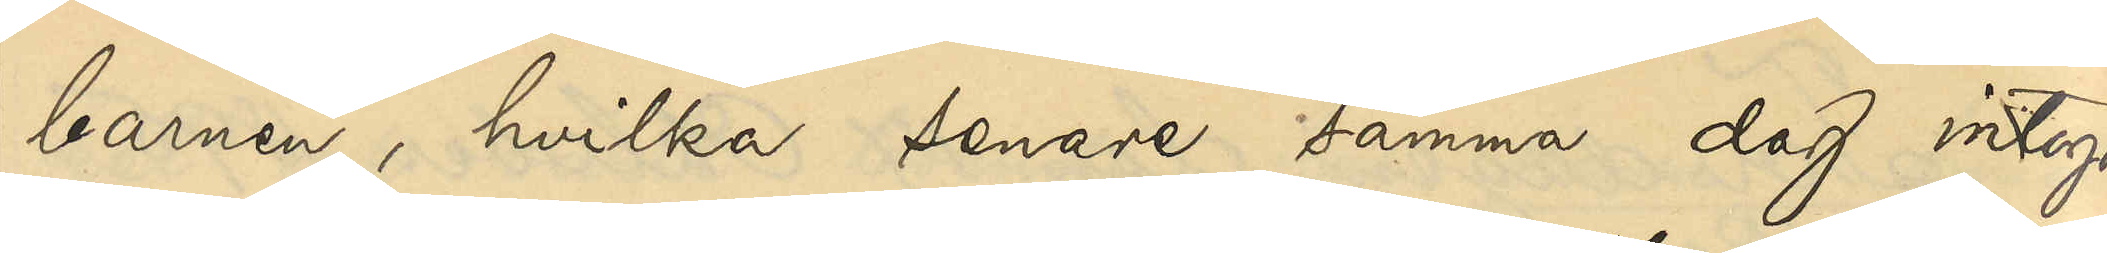barnen, hvilka senare samma dag intogos
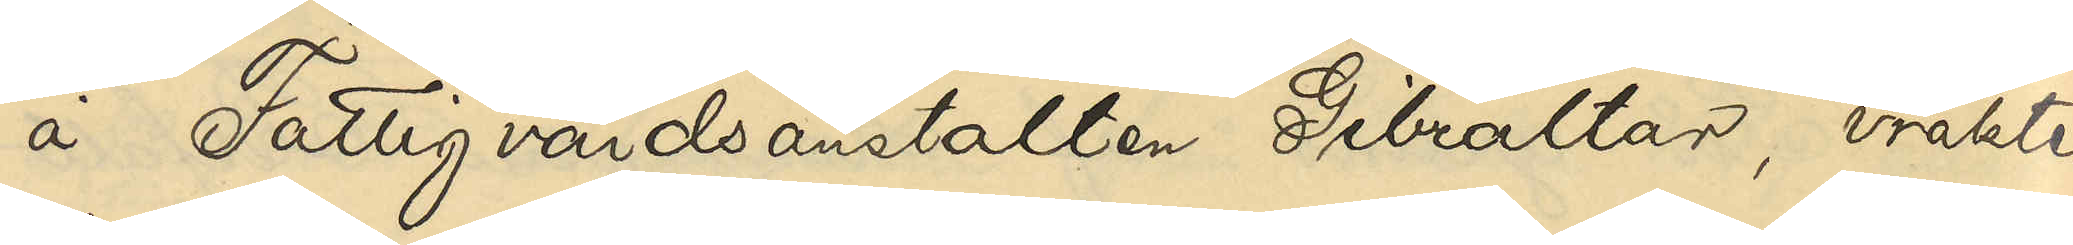å Fattigvårdsanstalten Gibraltar, vräktes
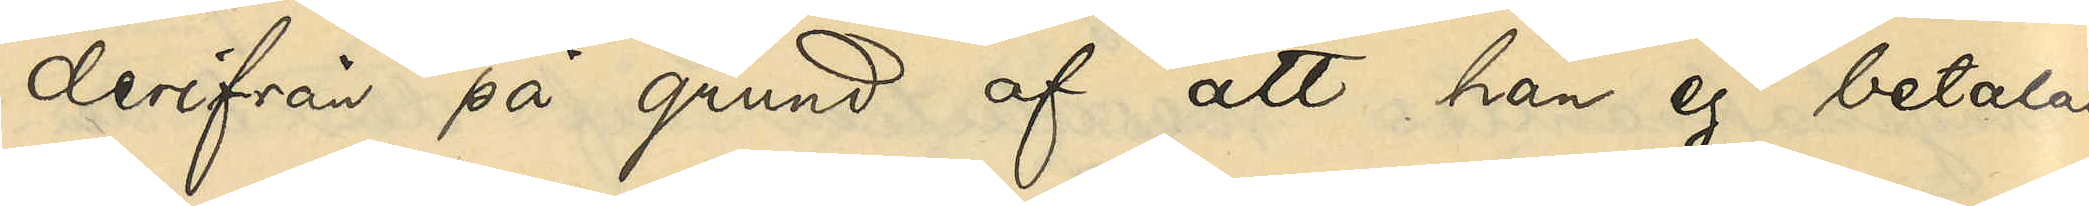derifrån på grund af att han ej betalat
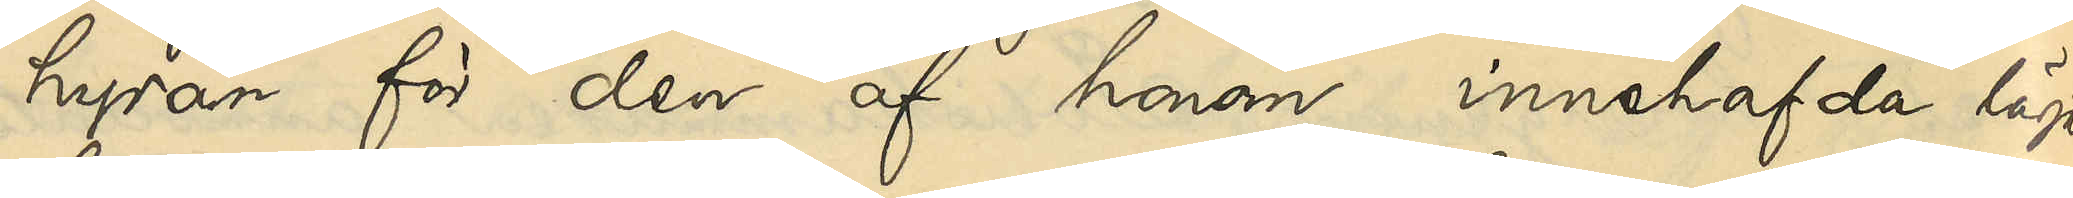hyran för den af honom innehafvda lägen¬
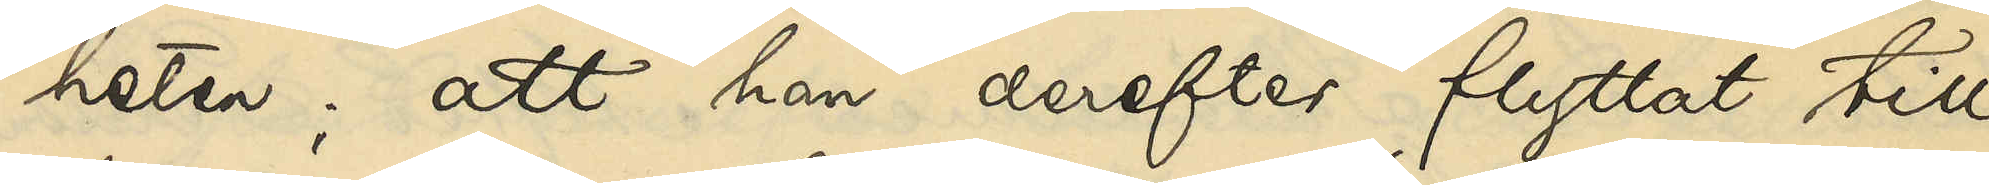heten; att han derefter flyttat till
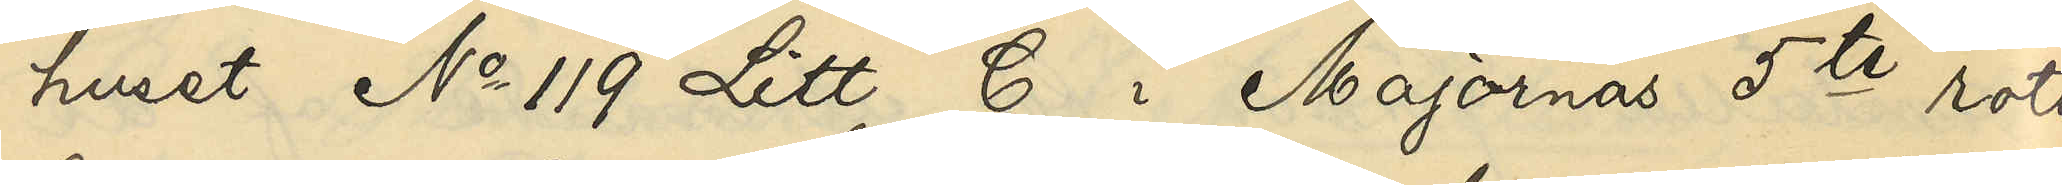huset No 119 Litt. B i Majornas 5te rote,
